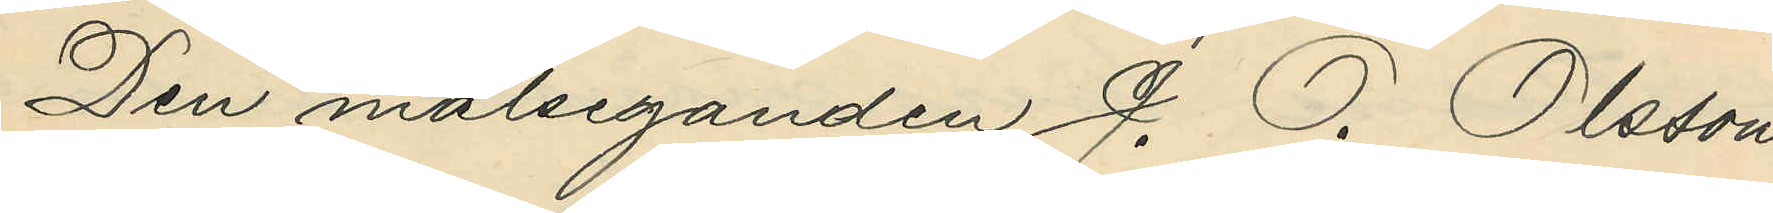Den målseganden J. O. Olsson
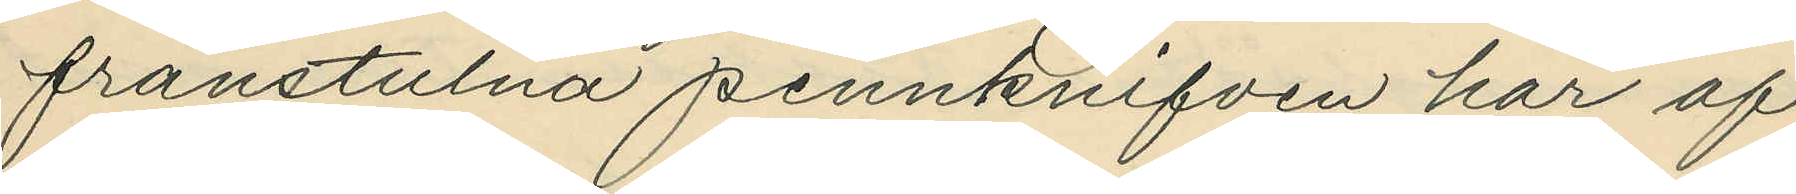frånstulna pennknifven har af
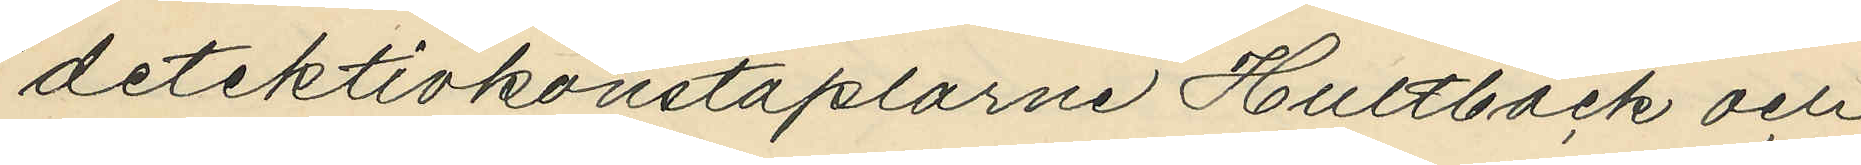detektivkonstaplarne Hultbäck och
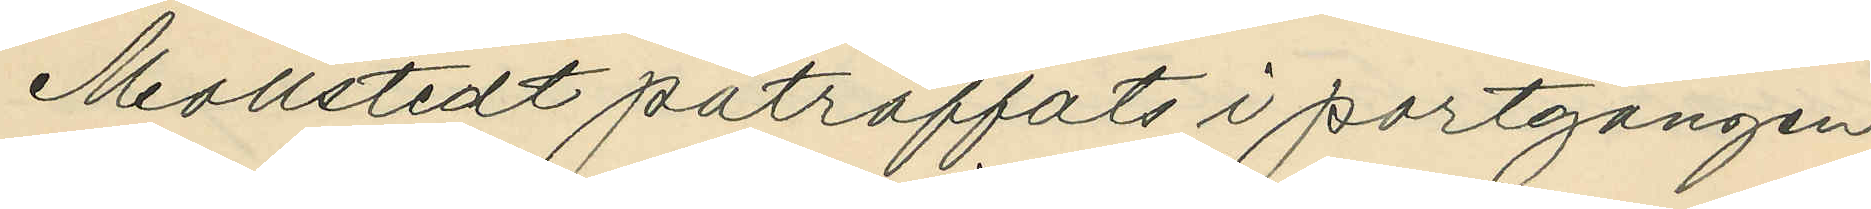Mollstedt påträffats i portgången
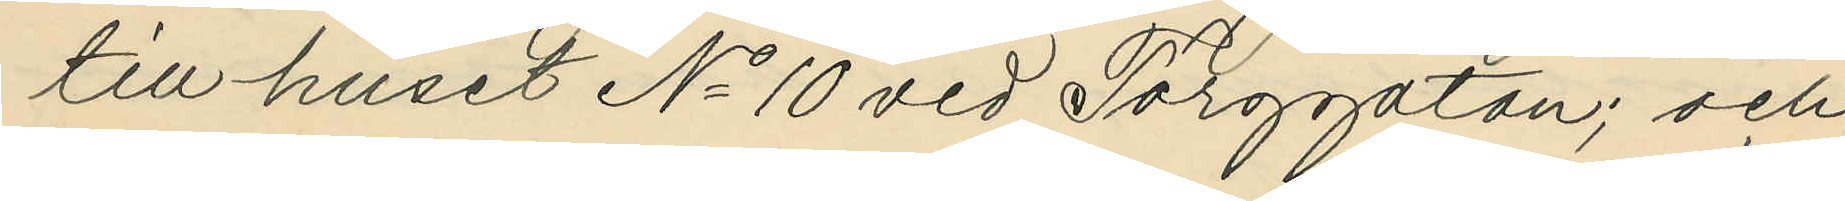till huset No 10 vid Torggatan; och
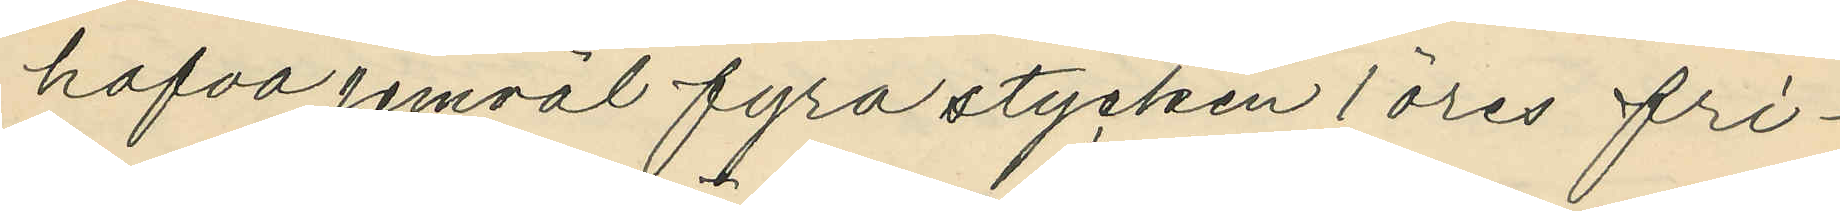hafva jemväl fyra stycken 1 öres fri¬
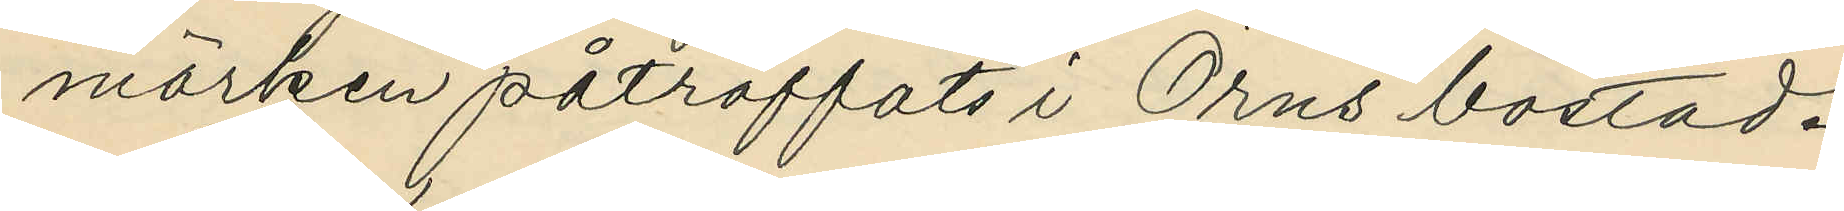märken påträffats i Örns bostad.
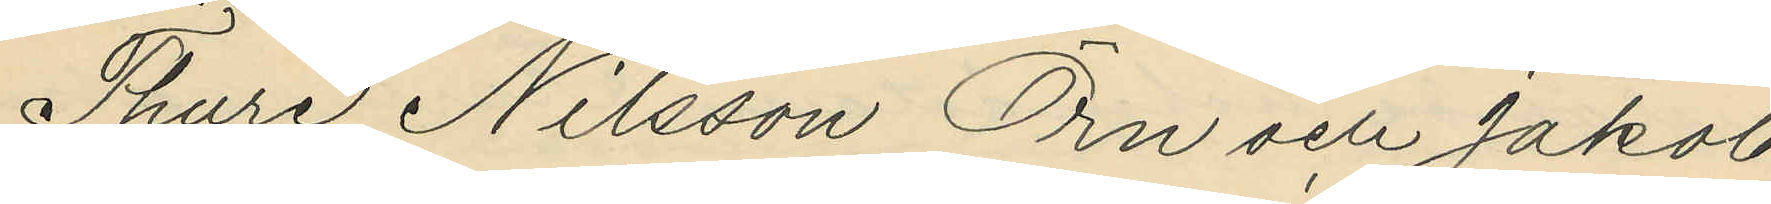Thure Nilsson Örn och Jakob
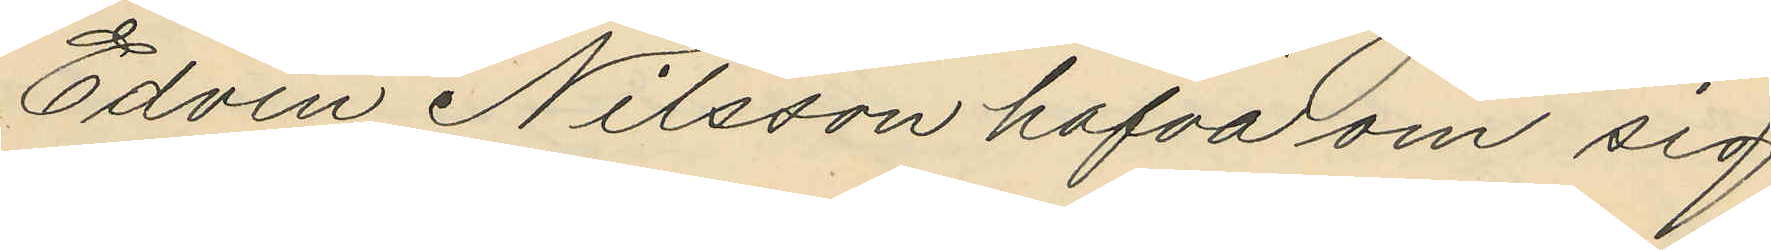Edvin Nilsson hafva om sig
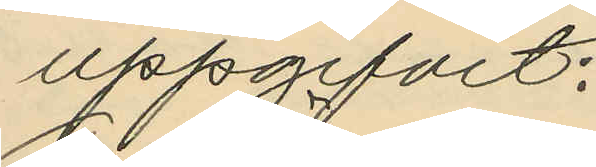uppgifvit:
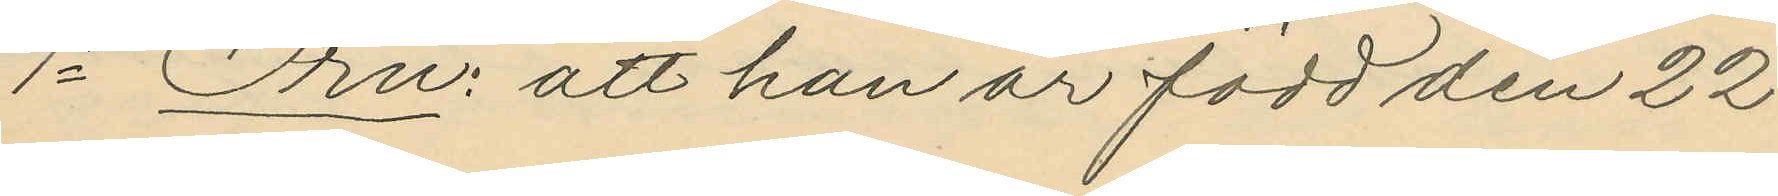1o Örn: att han är född den 22
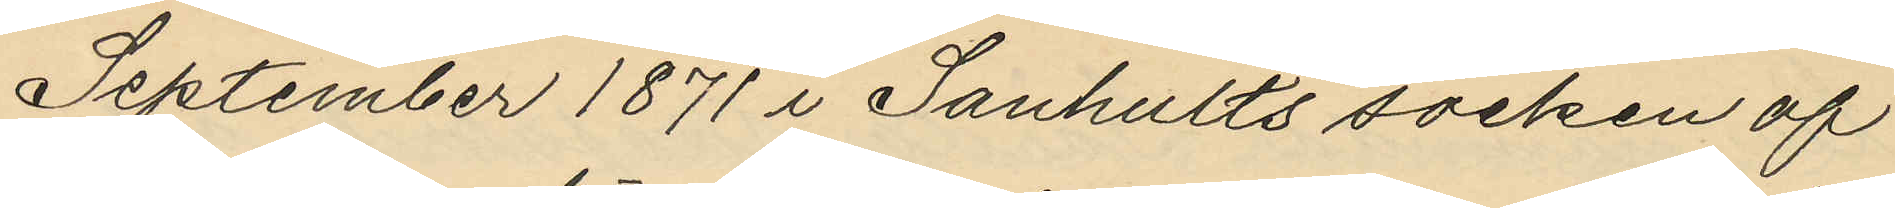September 1871 i Sandhults socken af
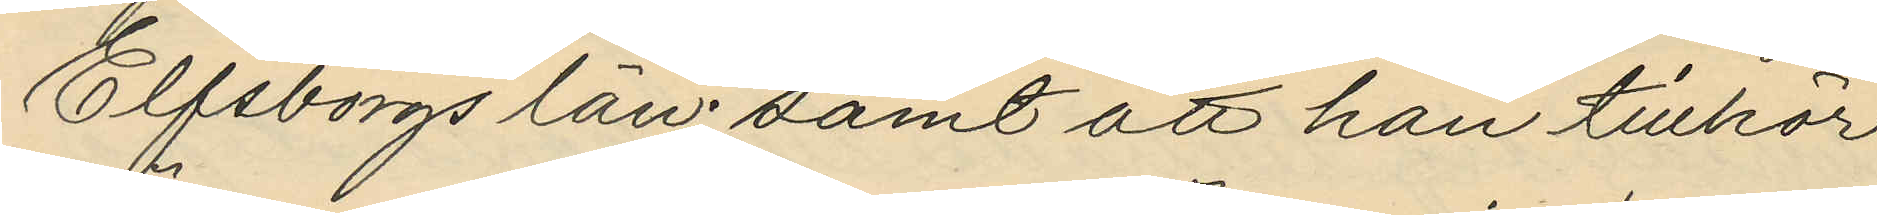Elfsborgs län; samt att han tillhör
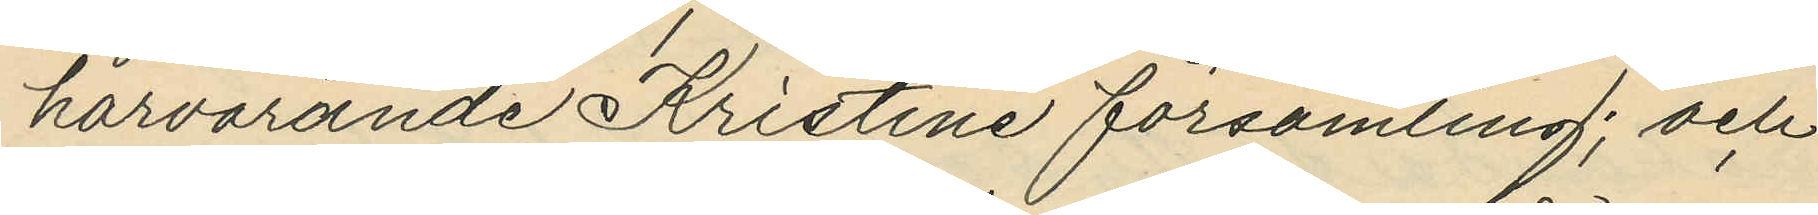härvarande Kristine församling; och
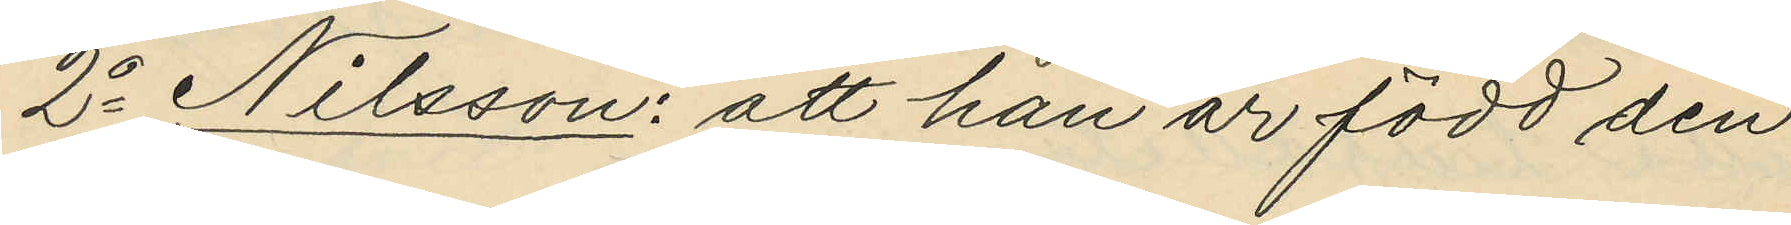2o Nilsson: att han är född den 
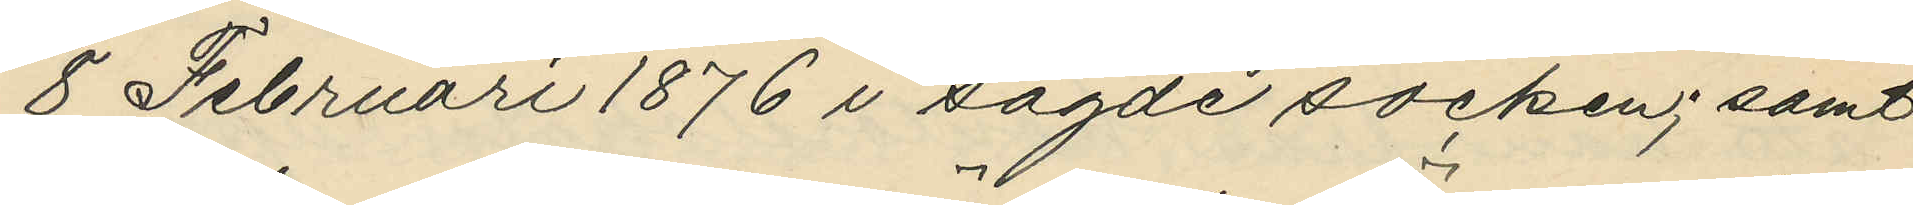8 Februari 1876 i sagde socken; samt
